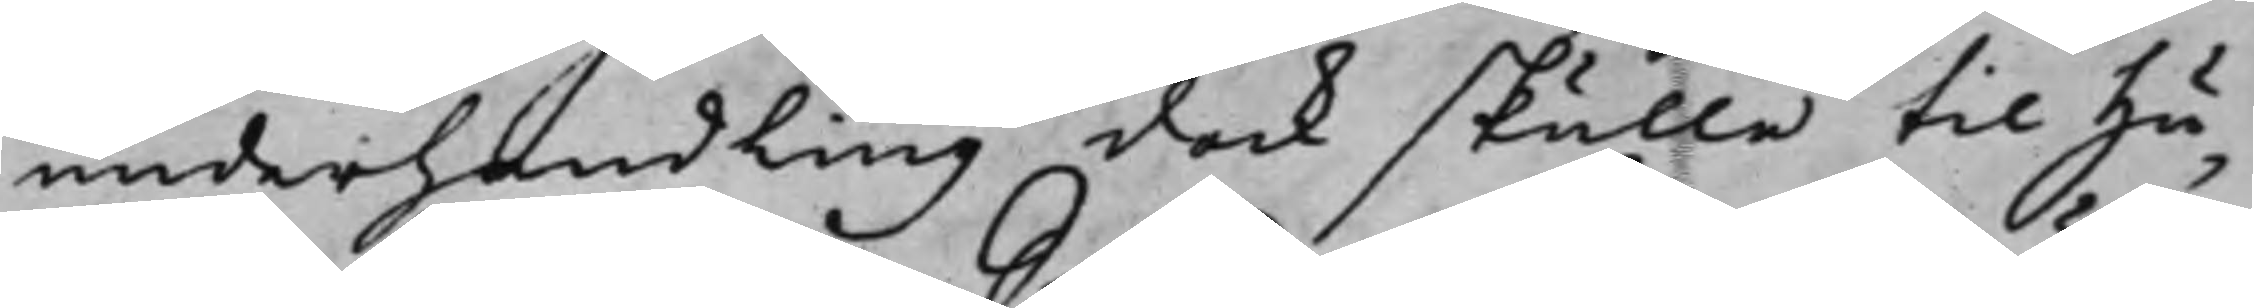underhandling dock skulle till Hu¬
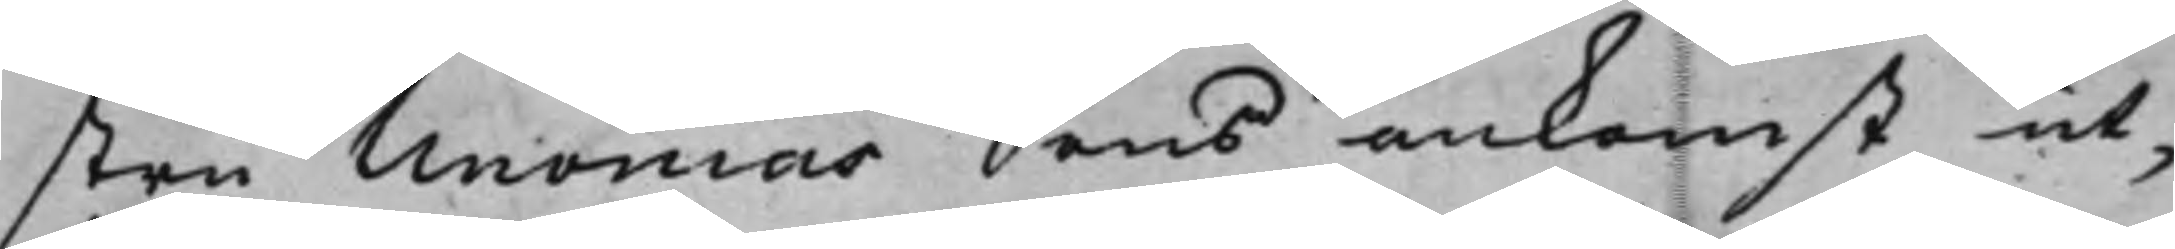stru Unonias Sons ankomst ut¬
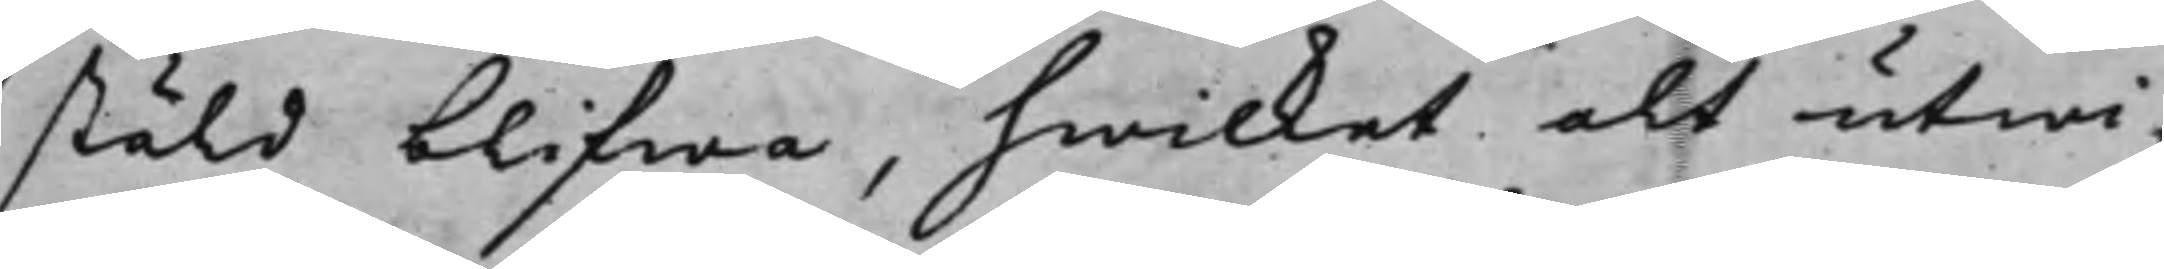stäld blifwa, hwilket alt utwi¬
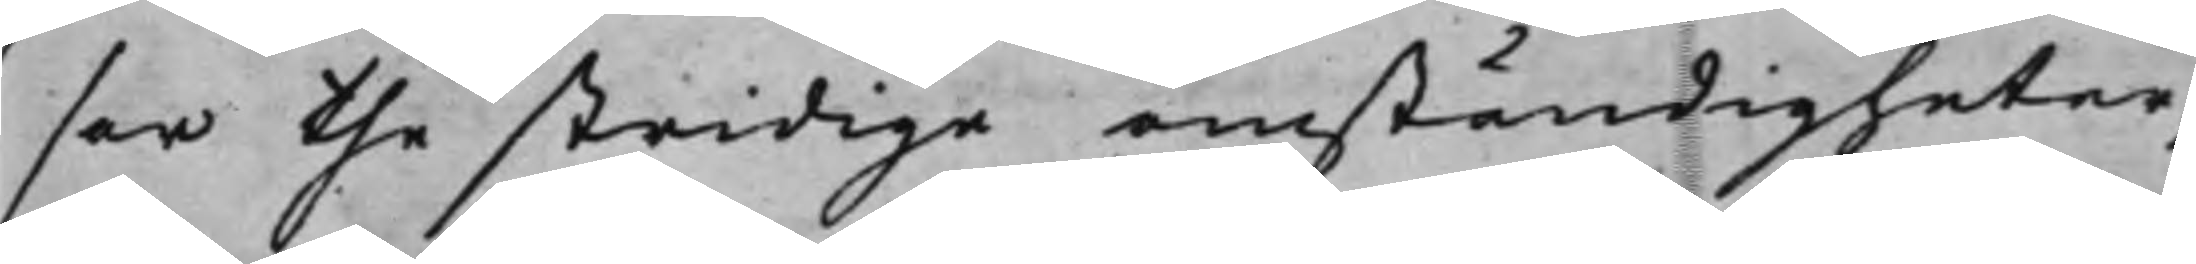sar the stridiga omständigheter,
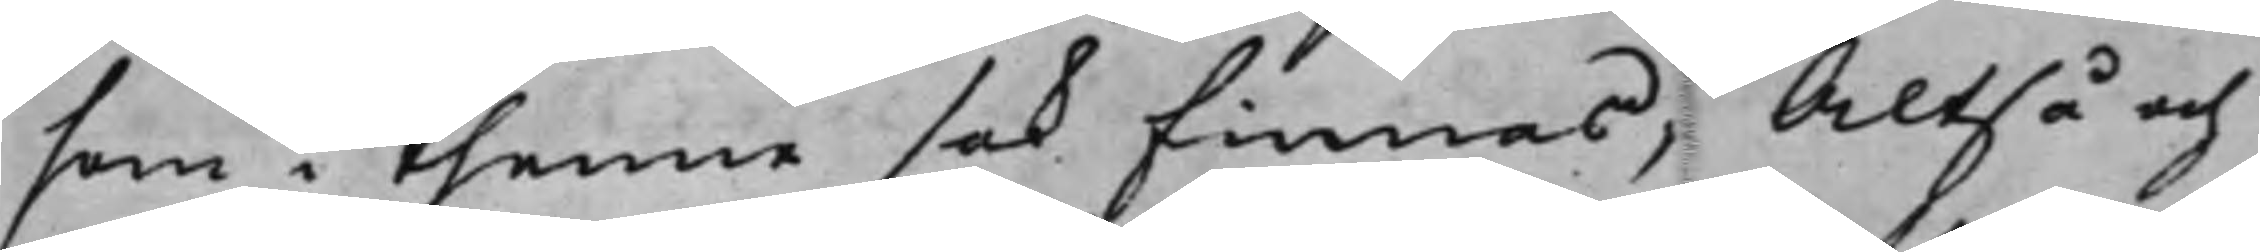som i thenne sak finnas; Altså och
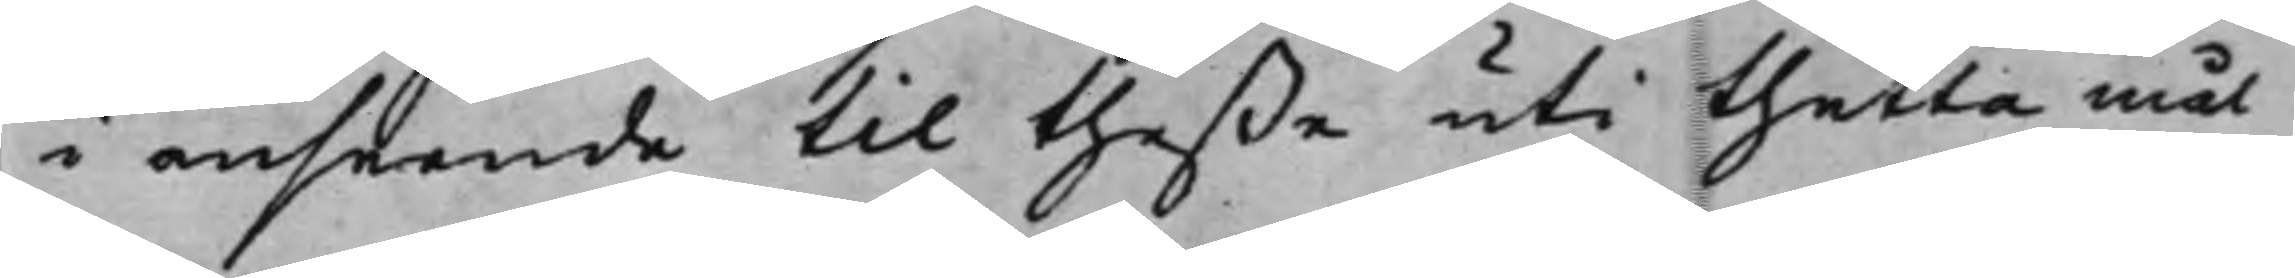i anseende til theße uti thetta mål
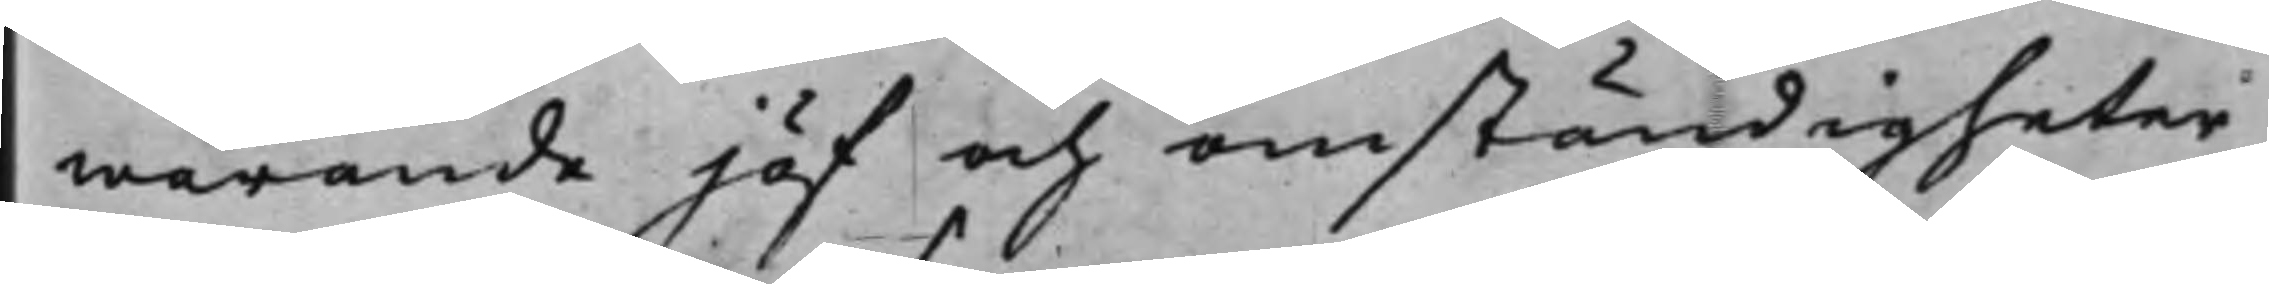warande jäf och omständigheter,
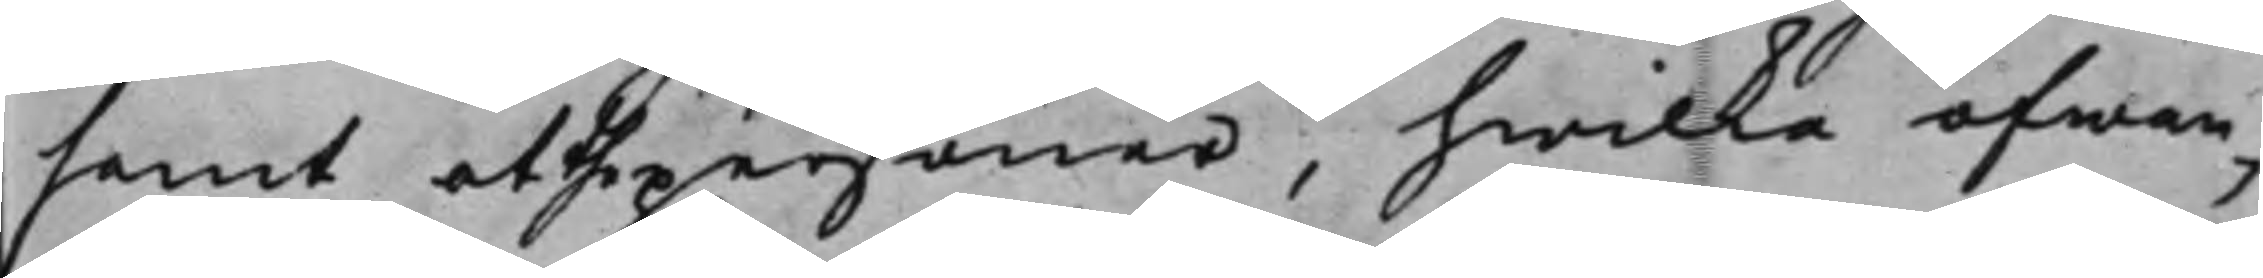samt at the personer, hwilka ofwan¬
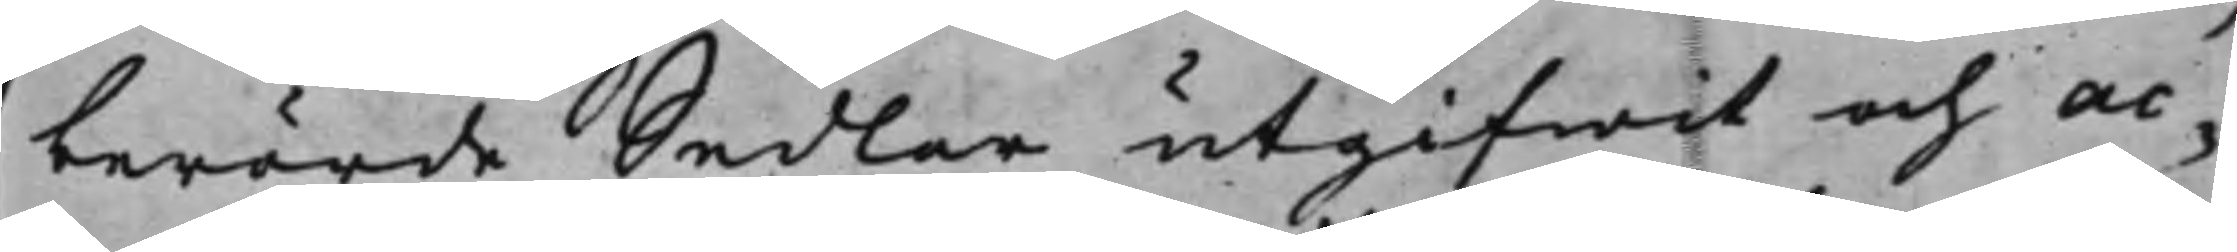berörde Sedlar utgifwit och ac¬
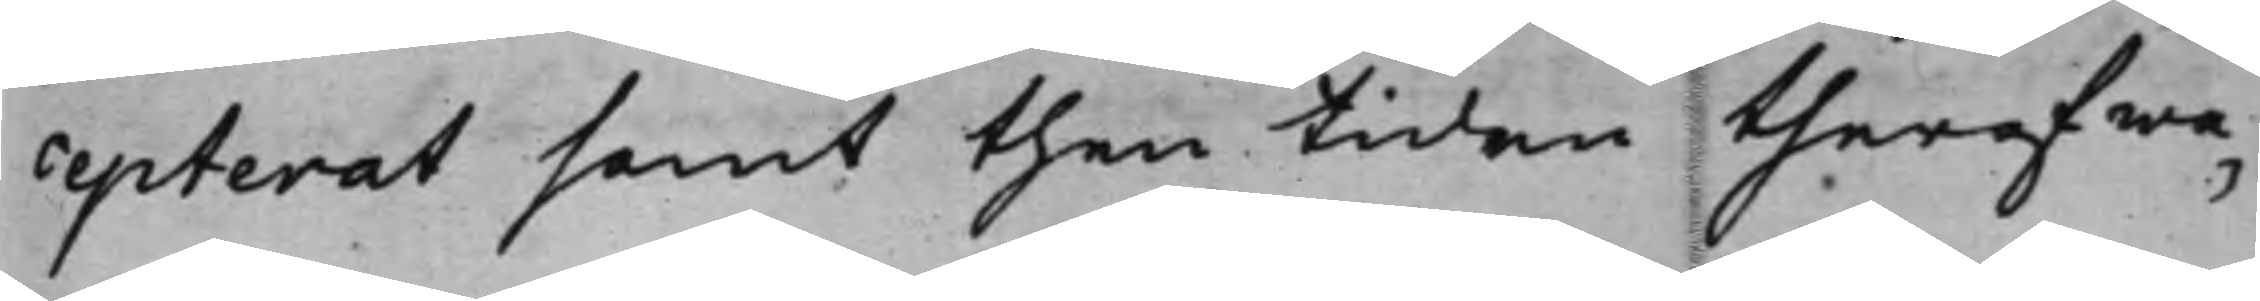cepterat samt then tiden theraf wa¬
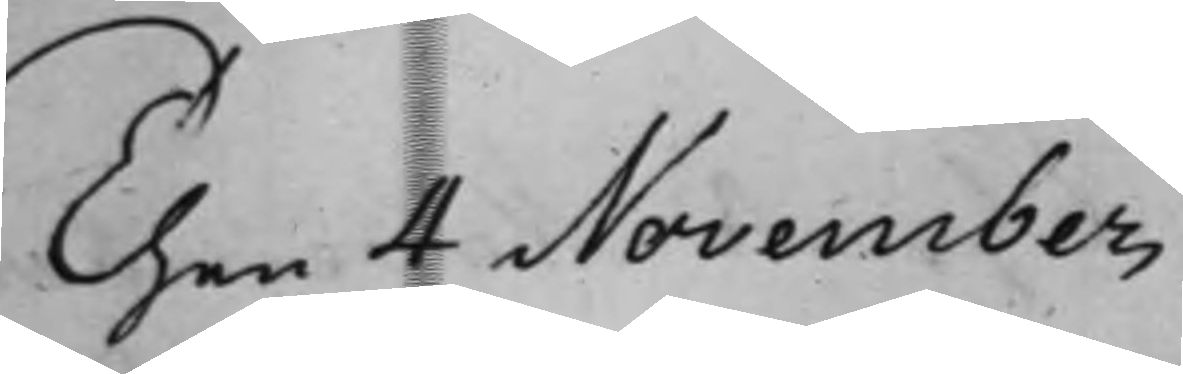Then 4 November
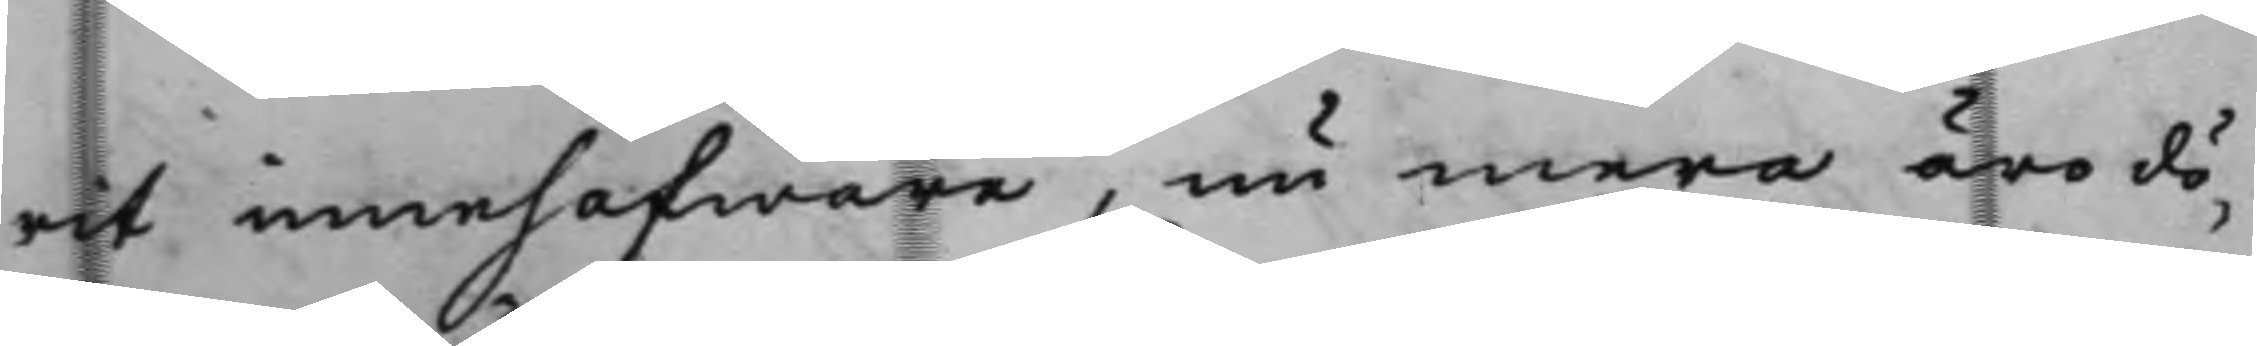rit innehafware, nu mera äro dö¬
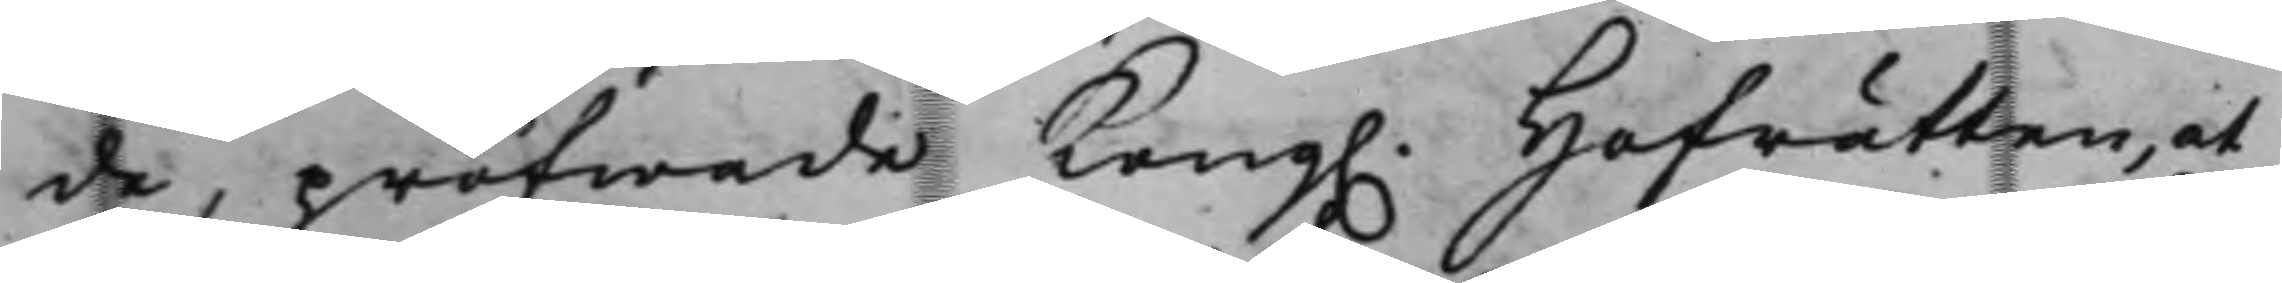de, pröfwade Kong. Hofrätten, at
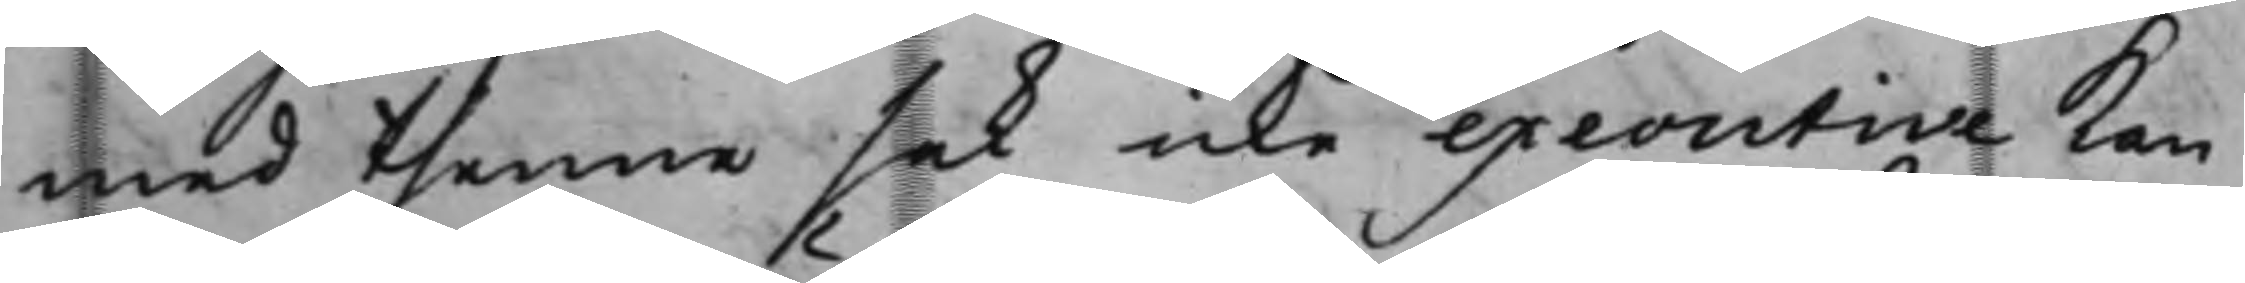med thenne sak icke executive kan
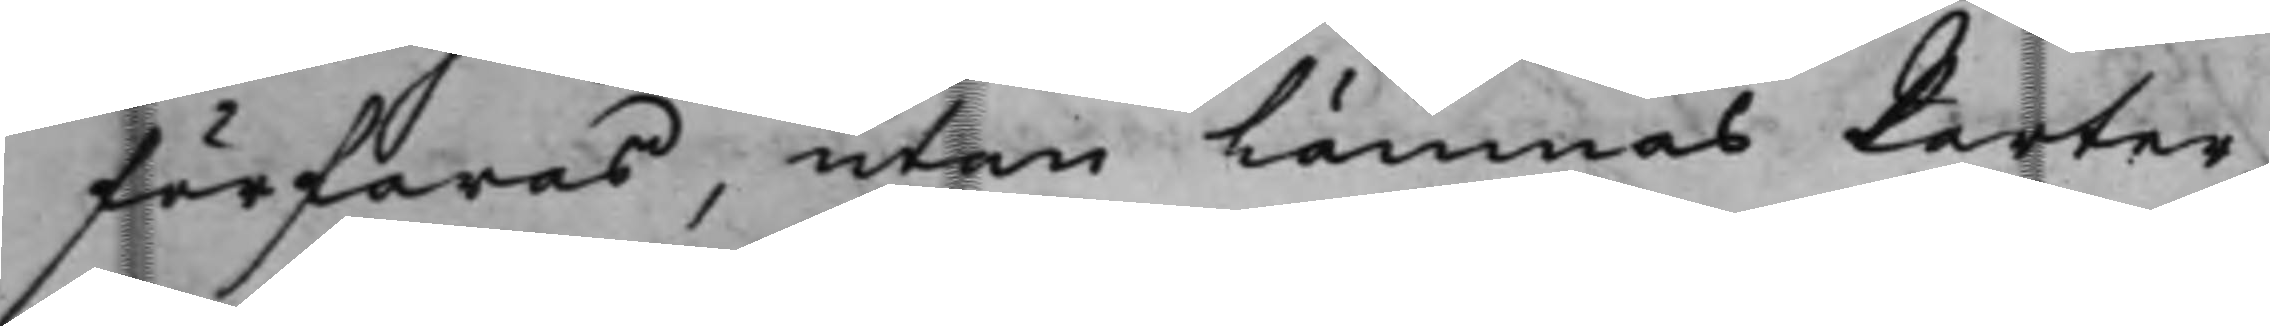förfaras, utan lämnas Parter¬
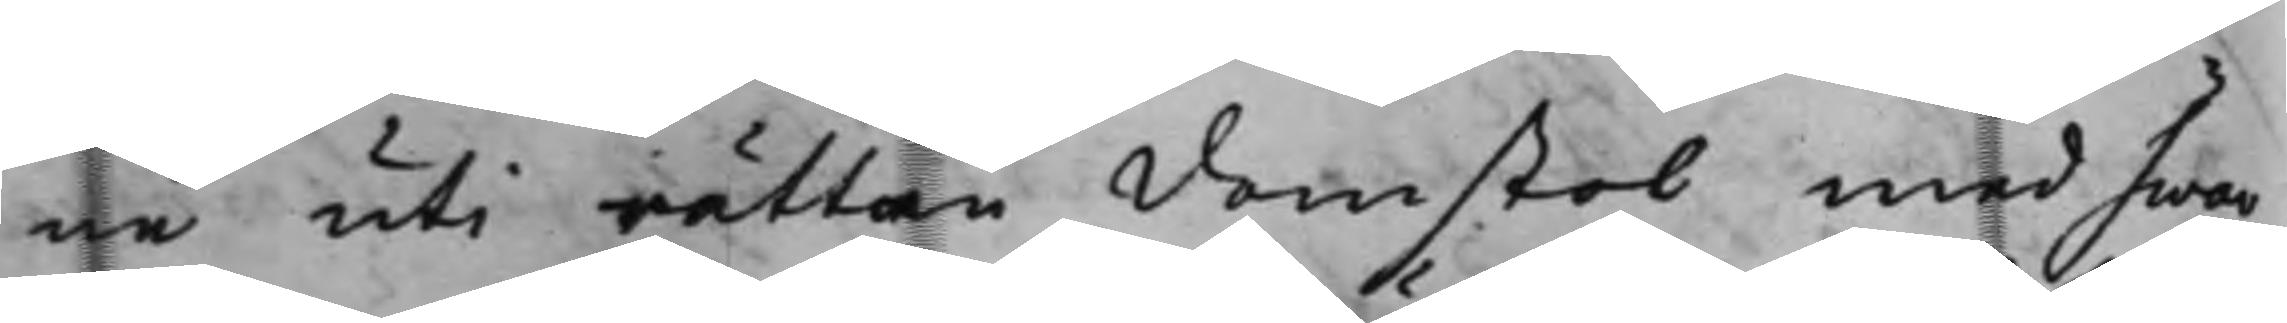ne uti rättan Domstol med hwar¬
